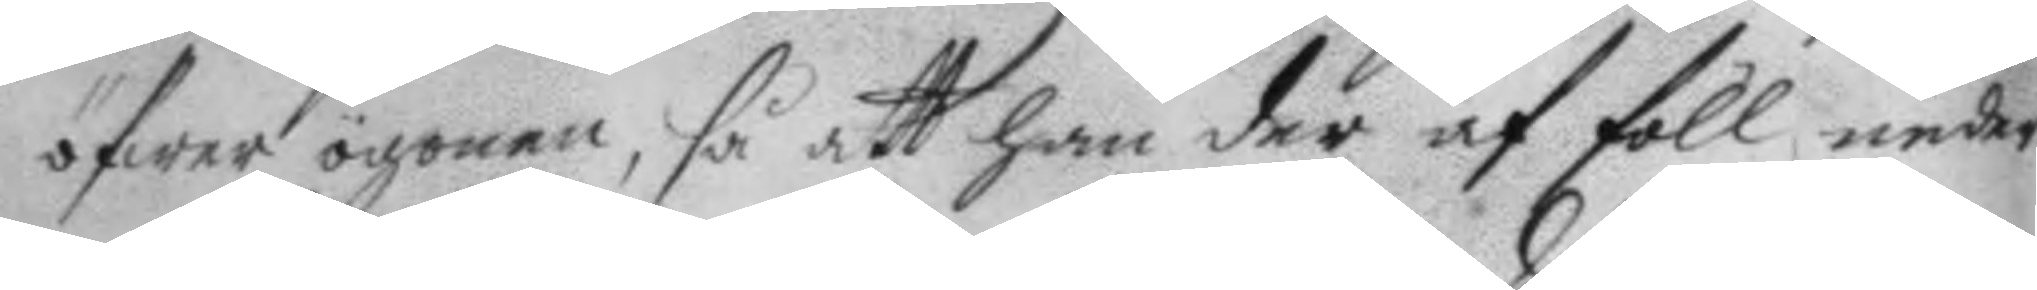öfwer ögonen, så att han der af föll neder
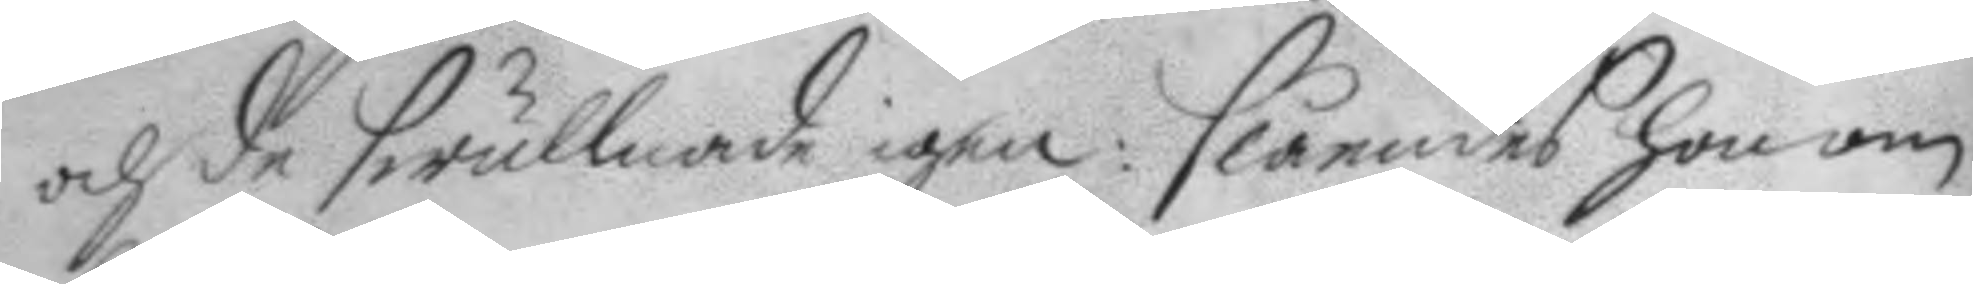och de swullnade igen: slåendes honom
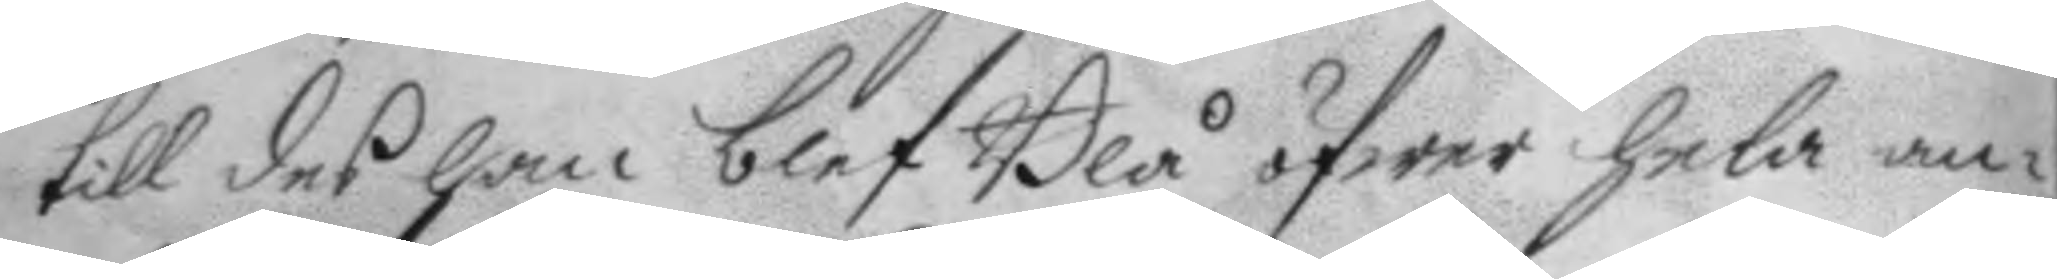till des han blef Blå öfwer hela an¬
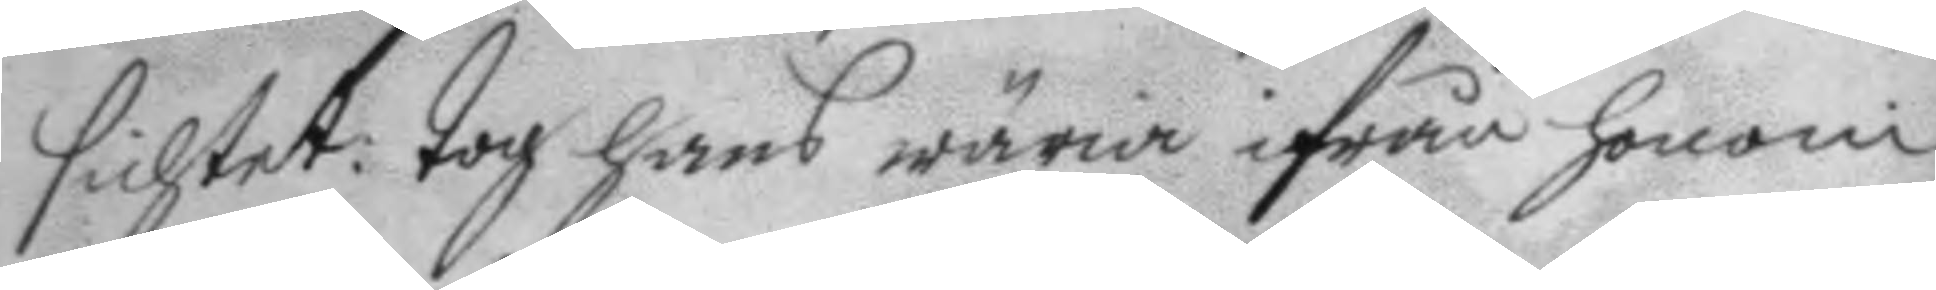sichtet: tog hans wäria ifrån honom;
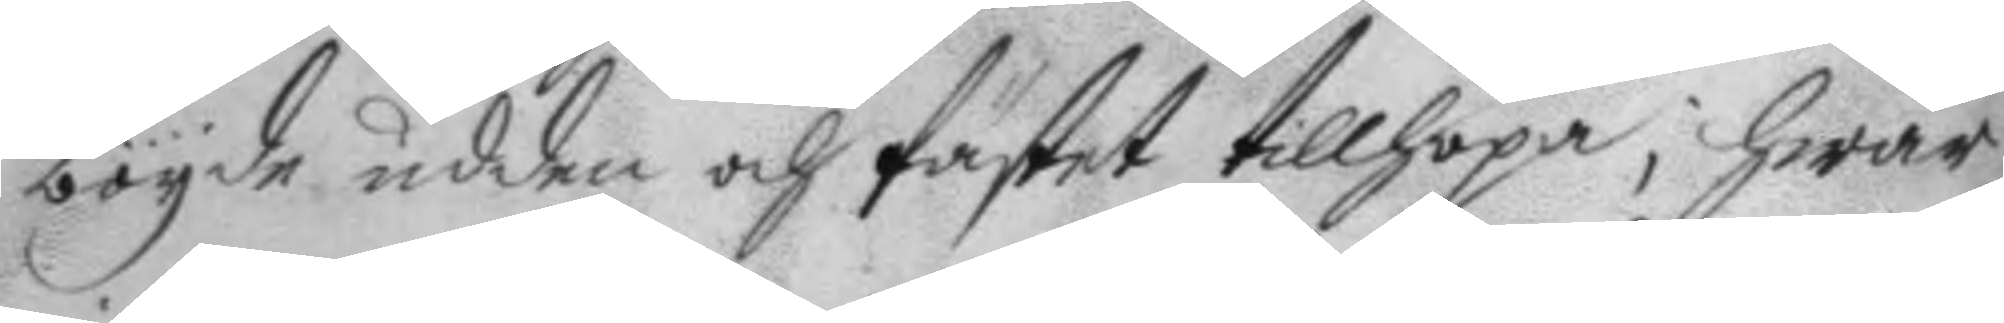böyde udden och fästet tillhopa; hwar¬
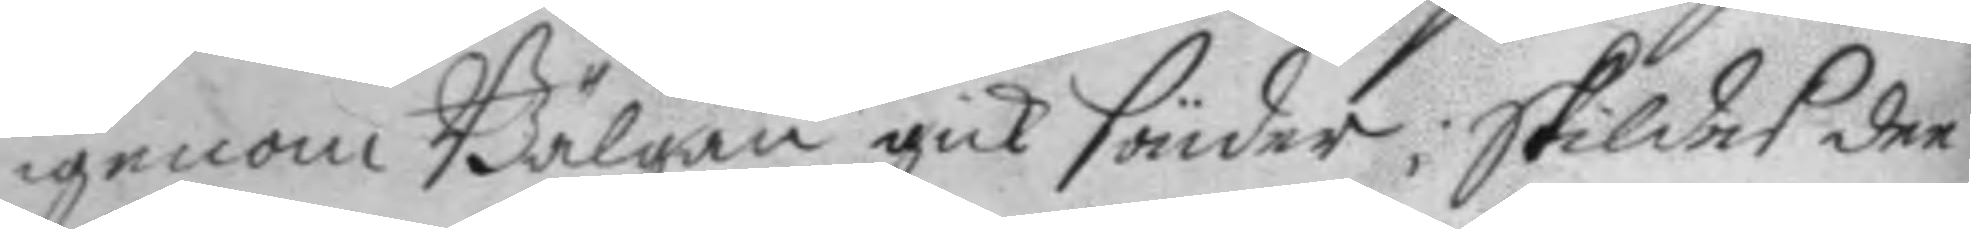igenom Bälgan gick sönder; skildes der
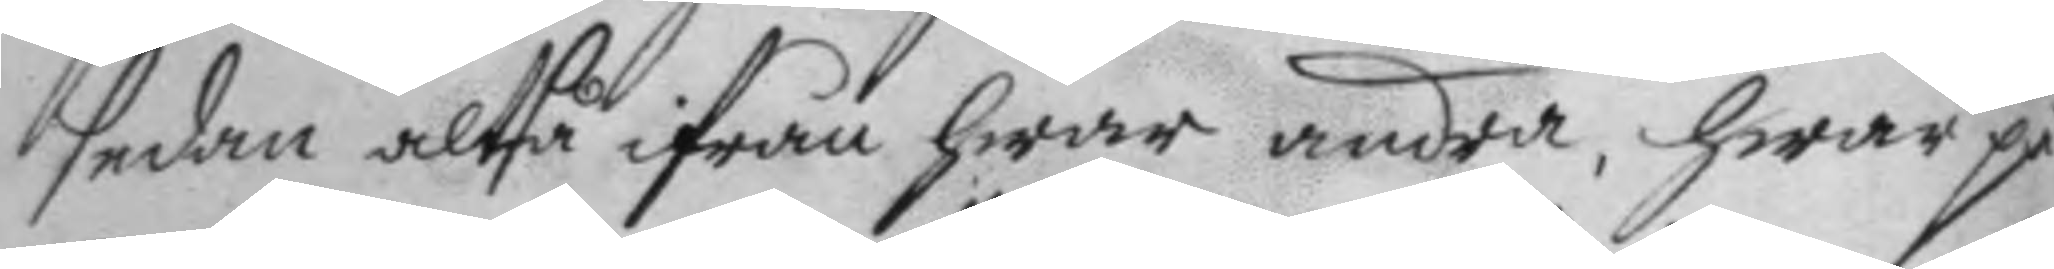sedan altså ifrån hwar andra, hwar på
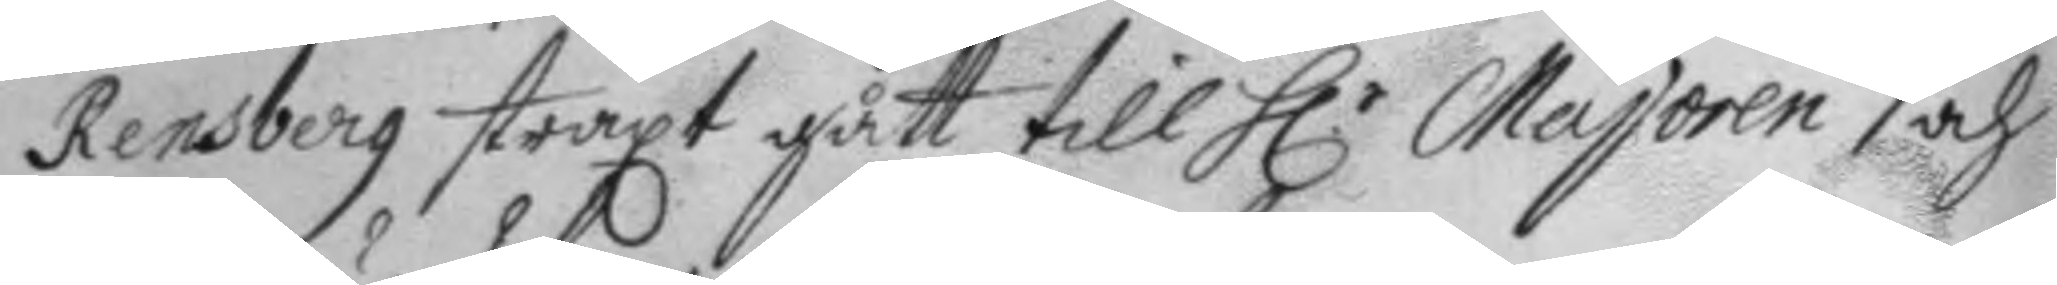Rensberg straxt gått till H.r Majoren och
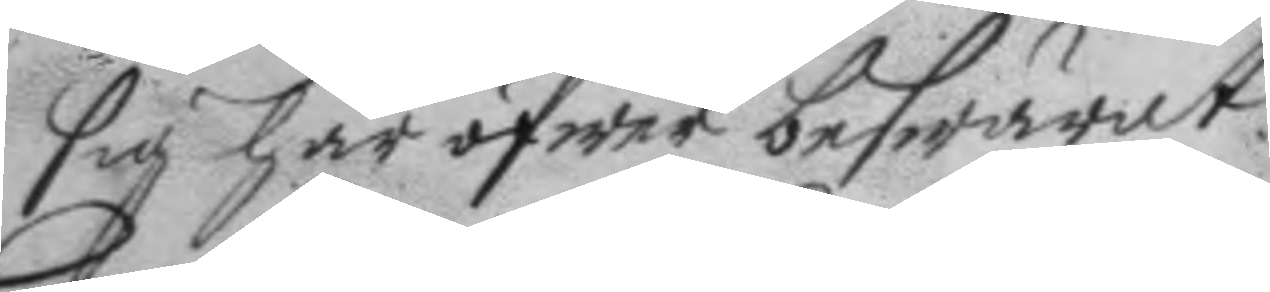sig här öfwer beswärat.
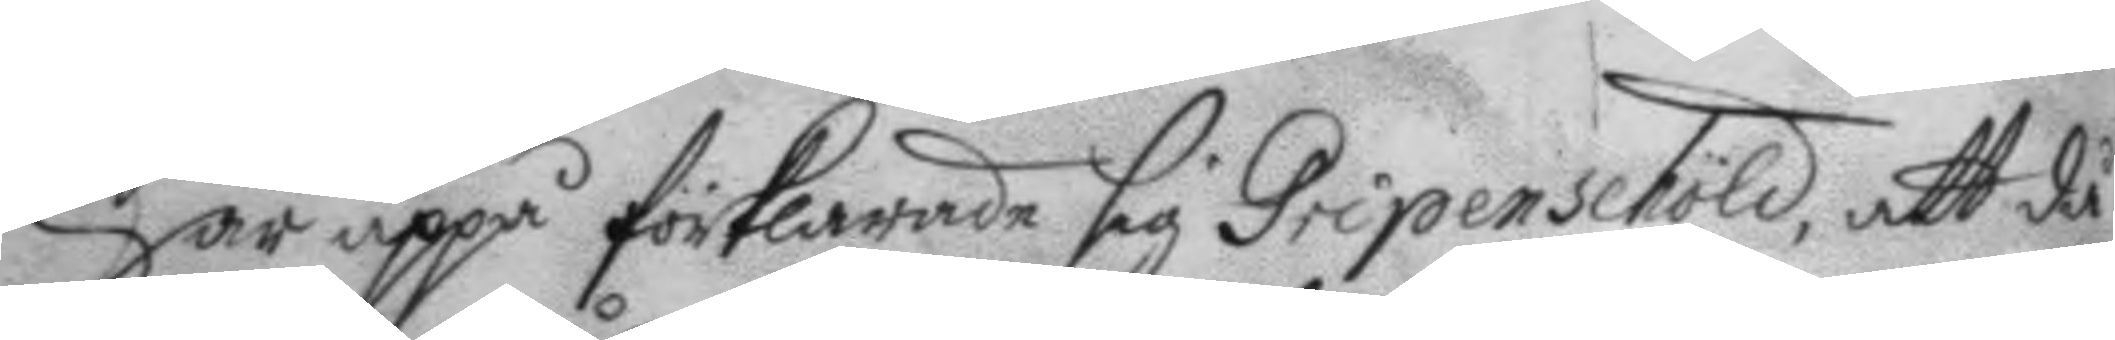Här uppå förklarade sig Gripenschöld, att då
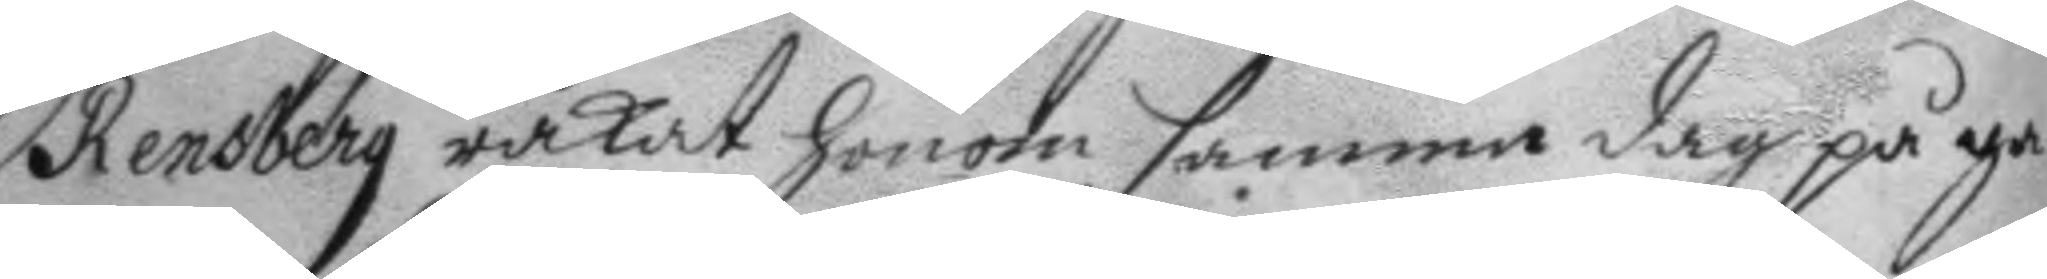Rensberg råkat honom samma dag på ga¬
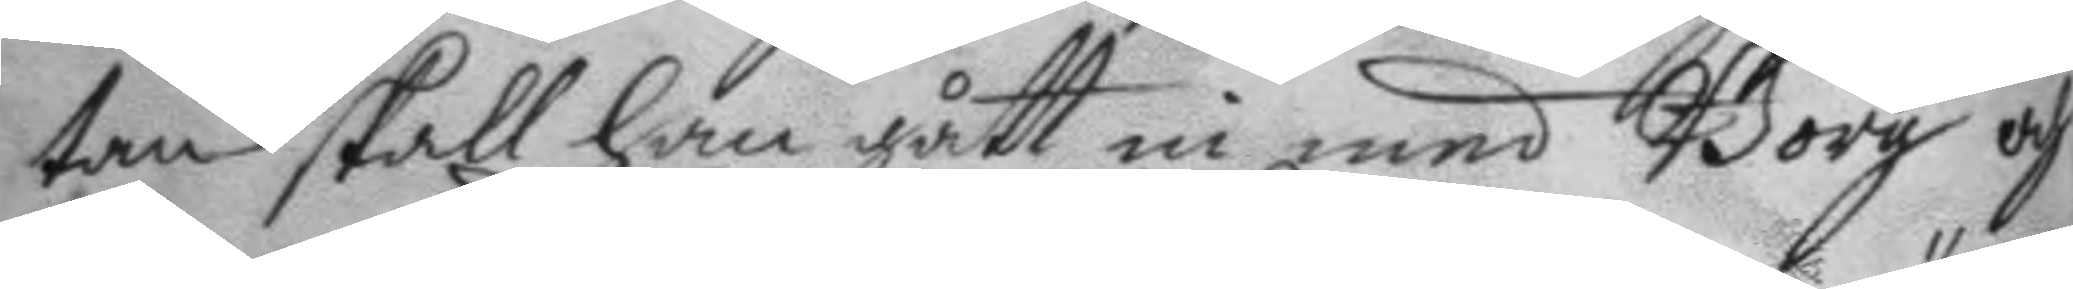tan skall han gått in med Borg och
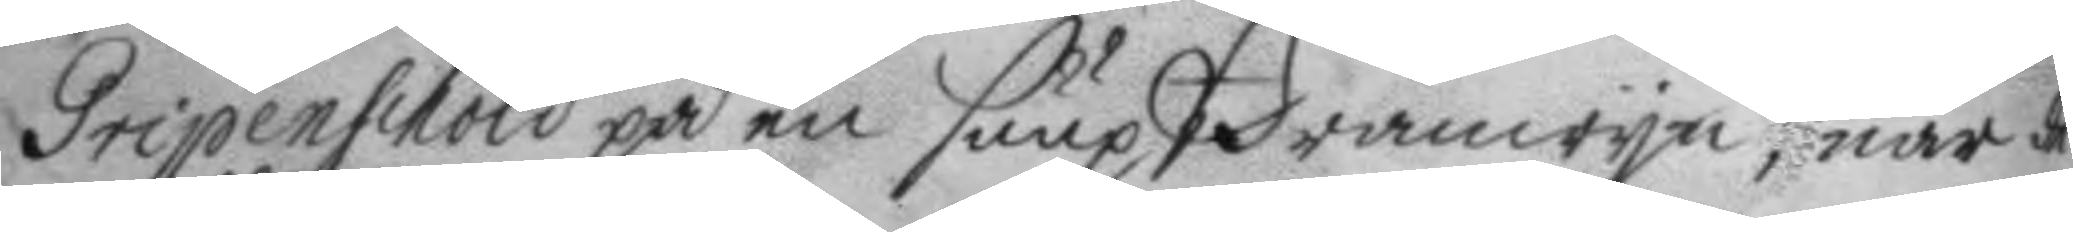Gripenschöld på en suup Bränwyn, när de
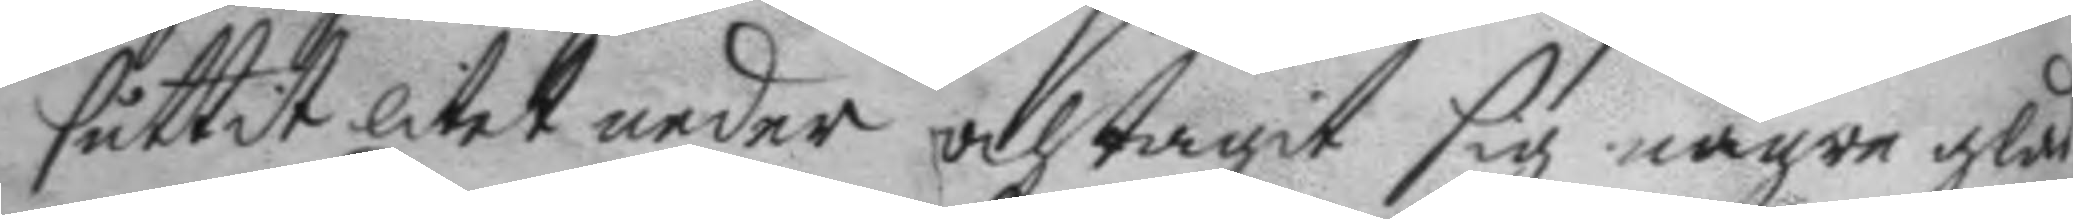suttit litet neder och tagit sig några glas
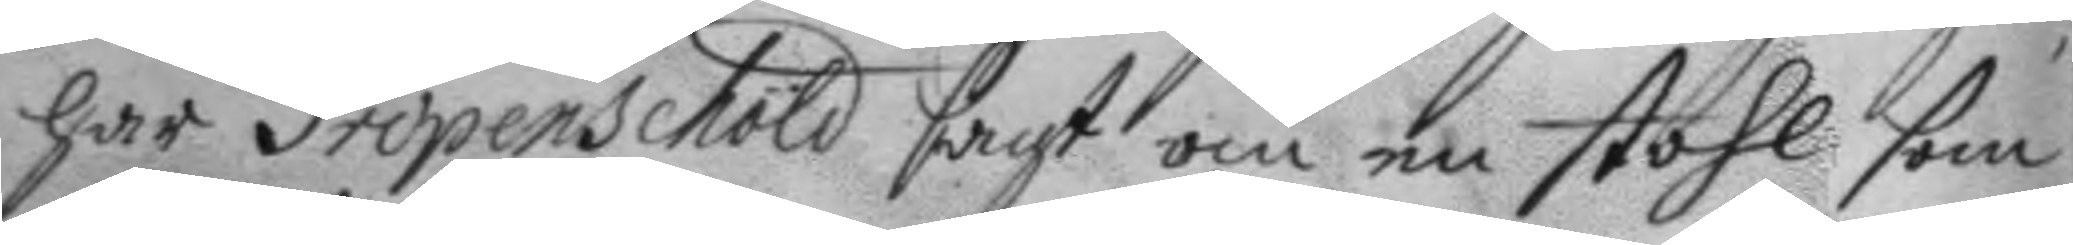har Gripenschöld sagt om en stohl som
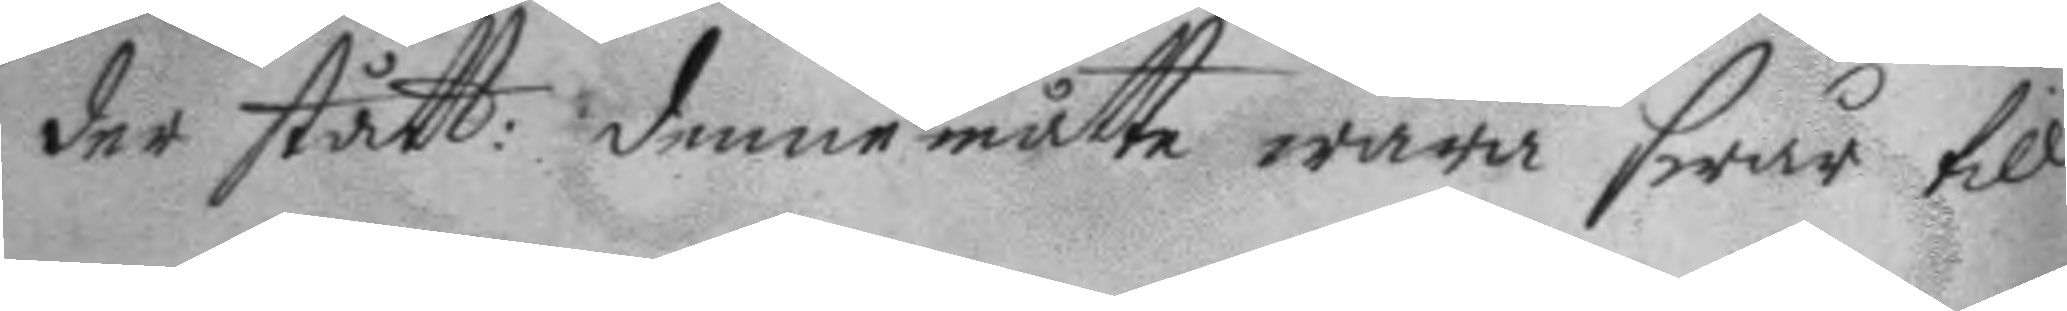der stått: denne måtte wara swår till
